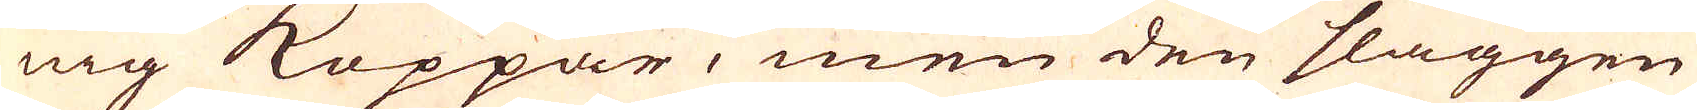nig Koppar, men den slaggen
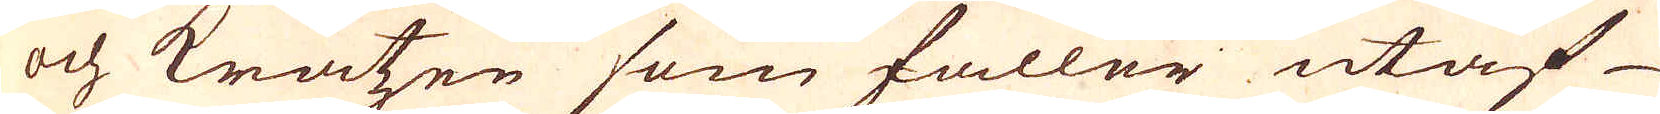och kratzen som faller utaf
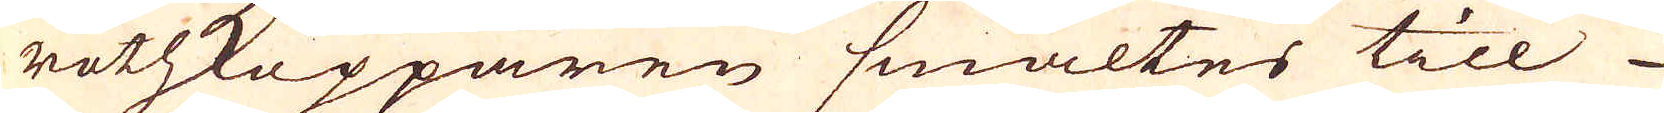rothkopparen smältes till
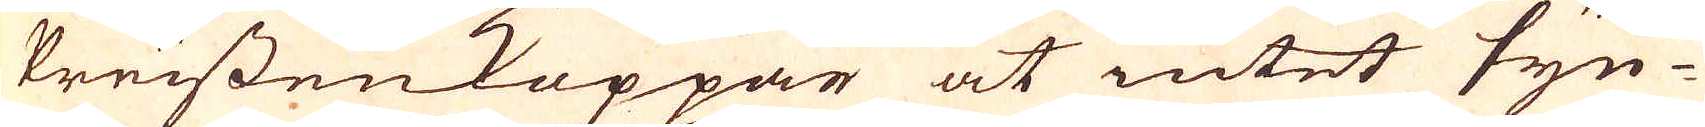PreissenKoppar at intet syn-
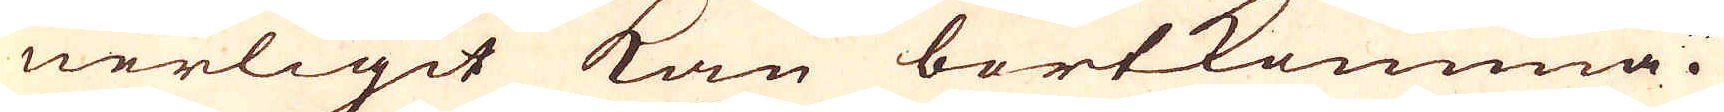nerligit kan bortkomma.
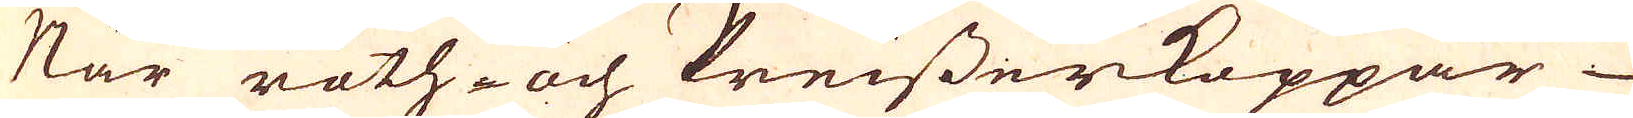När roth-och Preisserkoppar
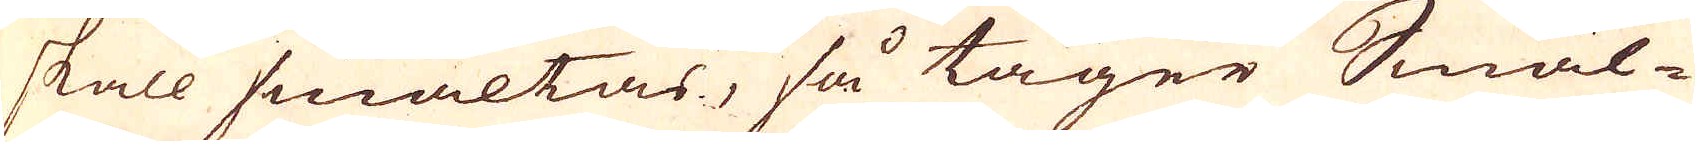skall smältas, så tager Smäl-
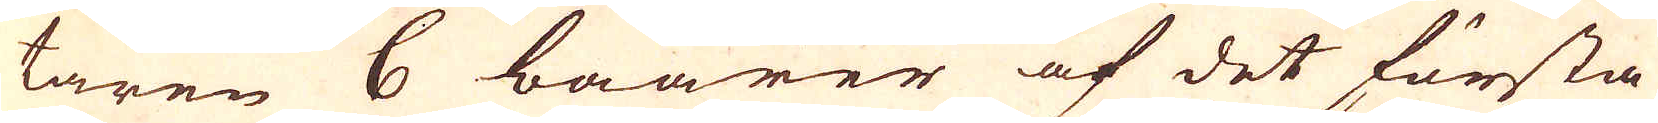taren 6 baarer af det första
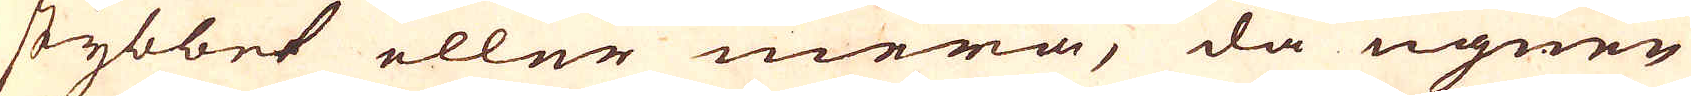stybbet eller mera, då ugnen
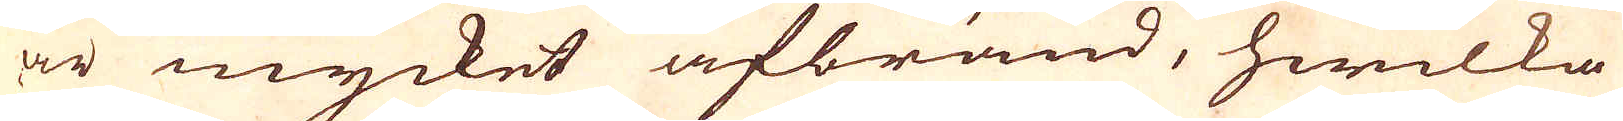är mycket afbränd, hwilka
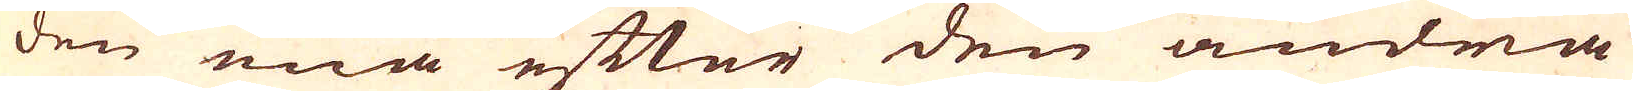den ena efter den andra
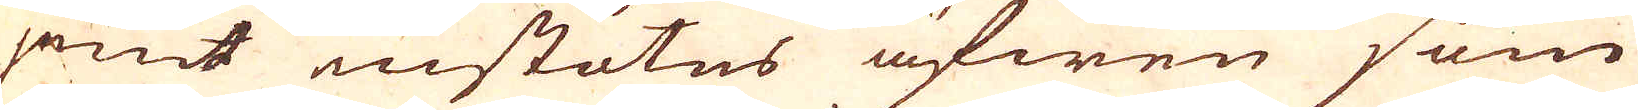jemt instötes äfwen som
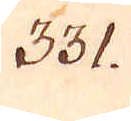331.
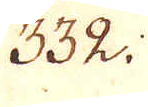332.
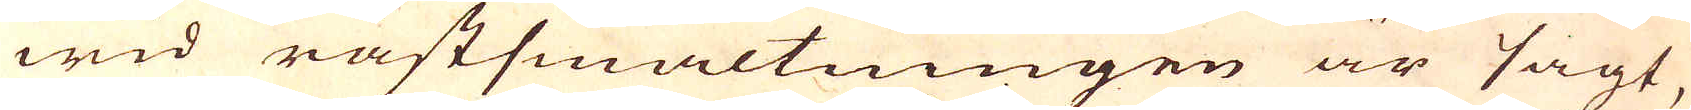wid råstsmältningen är sagt,
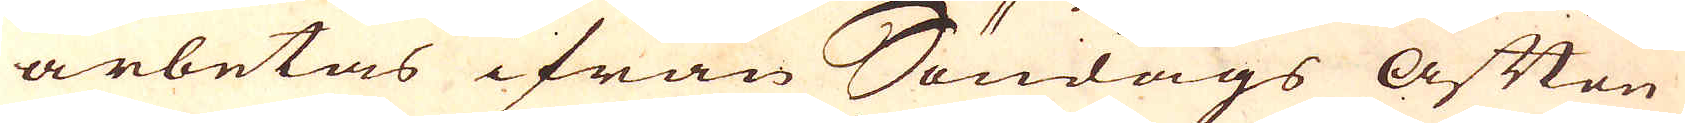arbetas ifrån Söndags Afften
